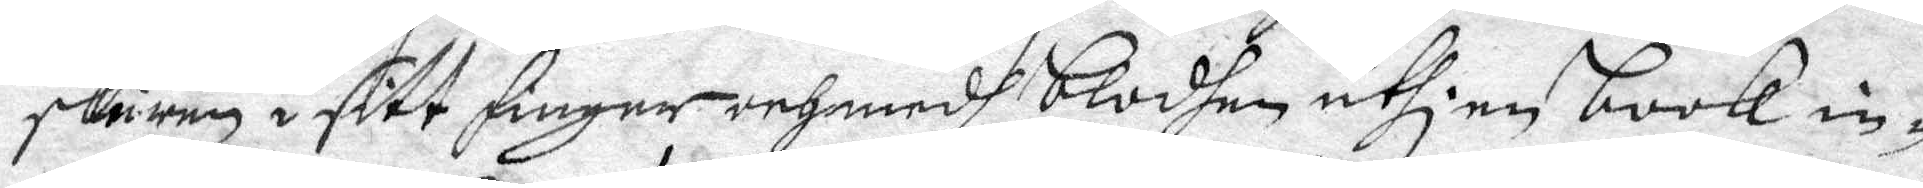skuren i sitt finger och medh blodhen uthi en book in¬
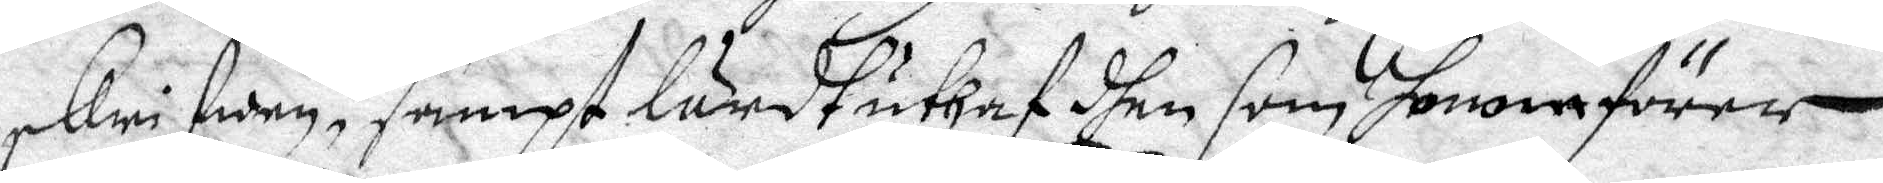skrifwen, sampt lärdt uthaf dhen som honom förer
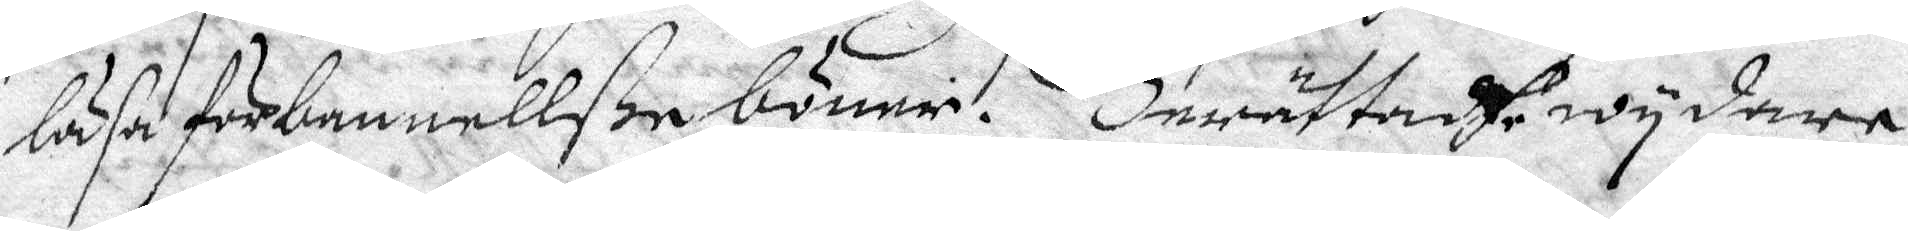läsa förbannellße böner. Berättadhe wydare
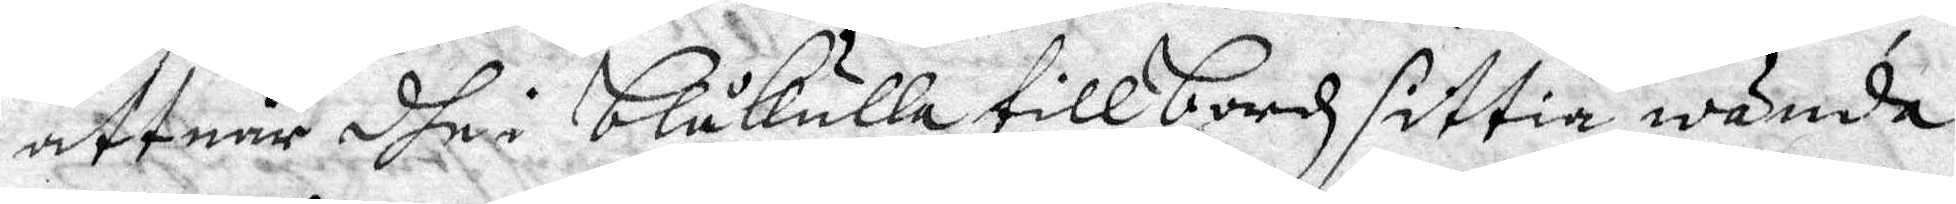att när dhe i blåkulla till bordz sittia, wända
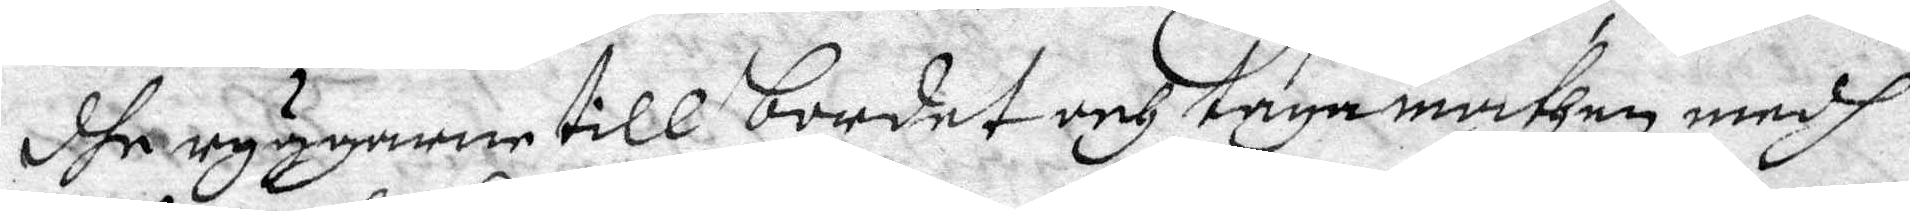dhe ryggarne till bordet och taga mathen medh
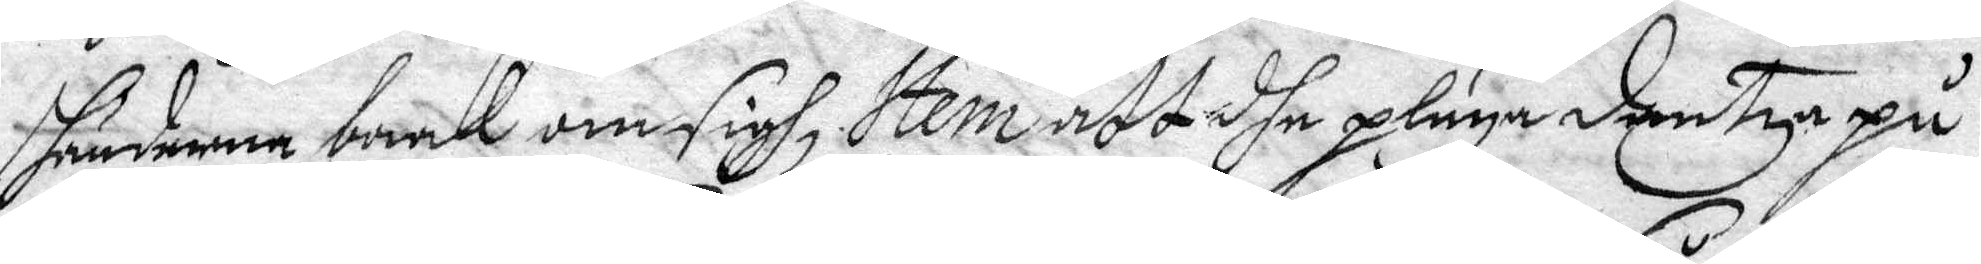händerna baak om sigh, Item att dhe pläga dantza på
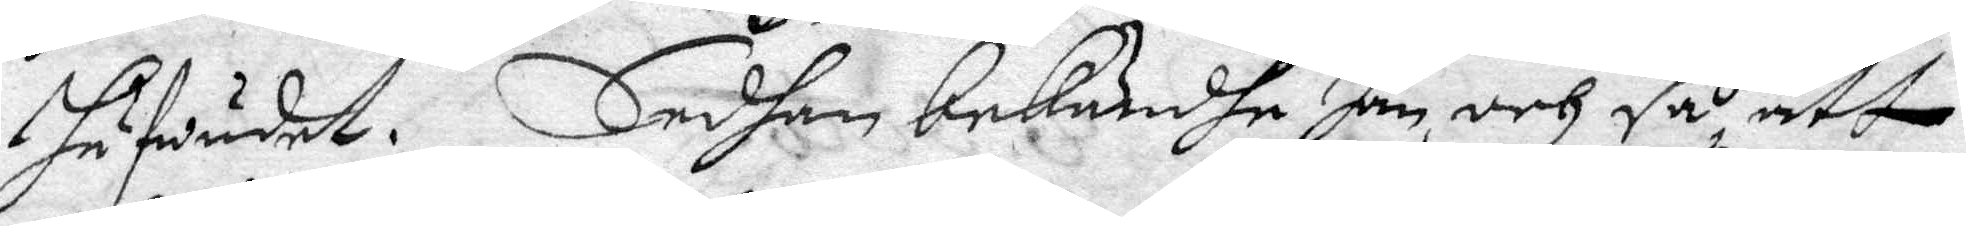hufwudet. Sedhan bekändhe han och så att
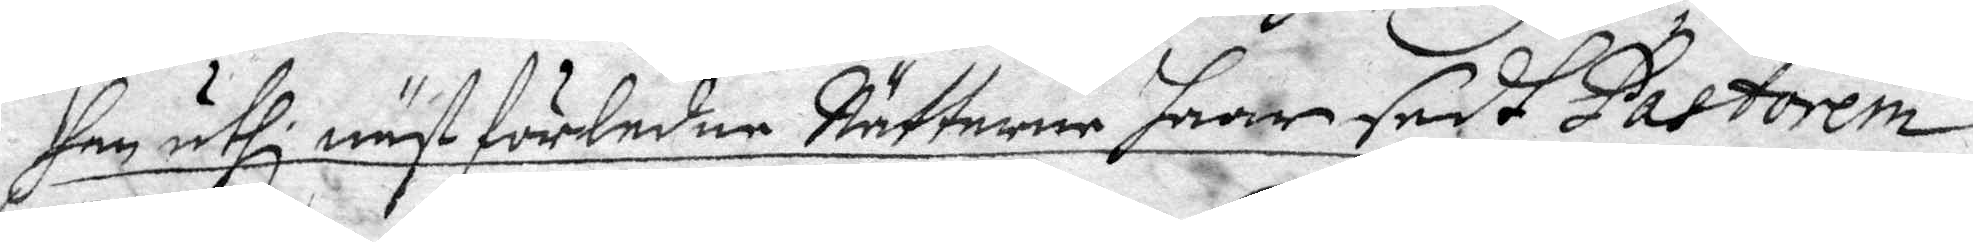han uthi näst förledne Nätterne haar sedt Pastorem
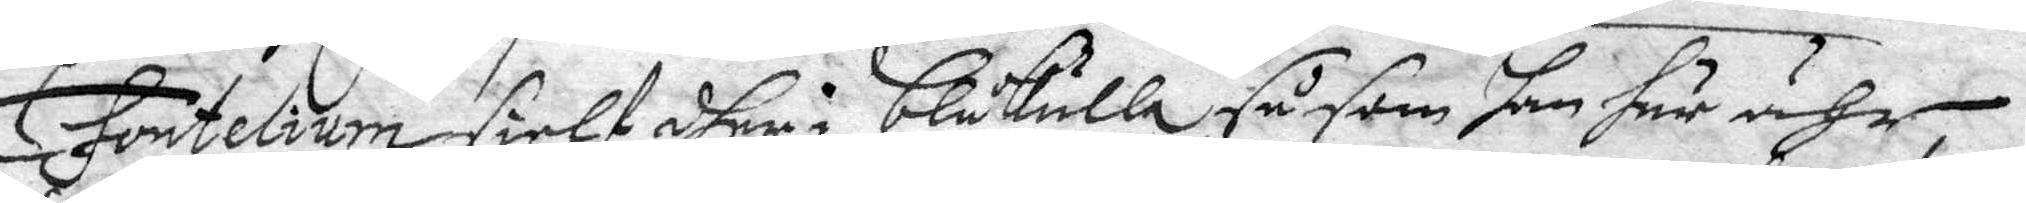Fontelium sielf dher i blåkulla såsom han här ähr,
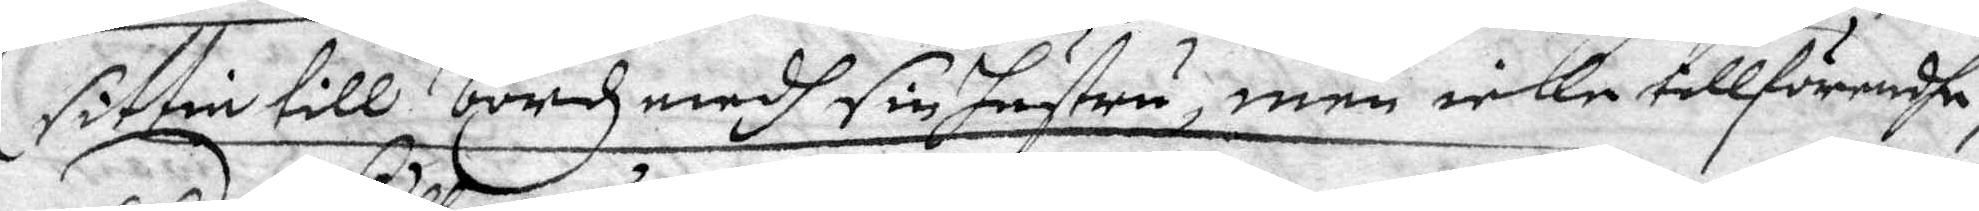sittia till bordz medh sin hustru, men icke tillförendhe,
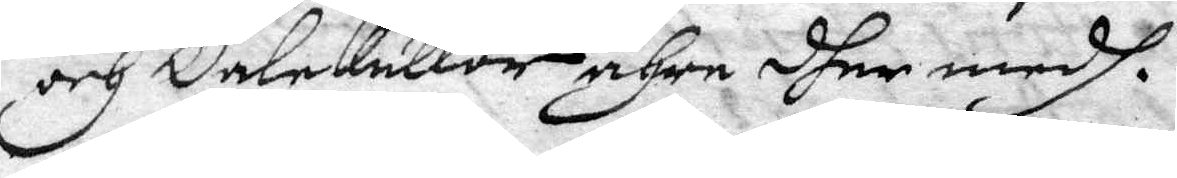och dalekullor ähre dher medh.
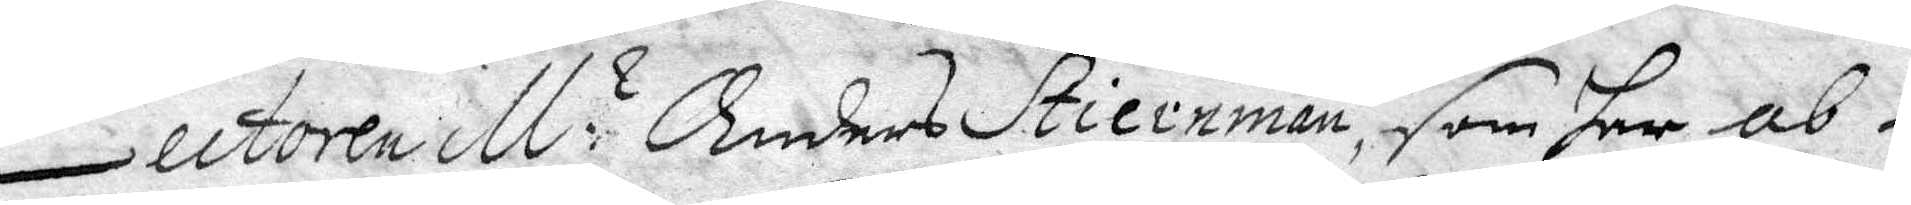Lectoren M:r Anders Stiernman, som har ab¬
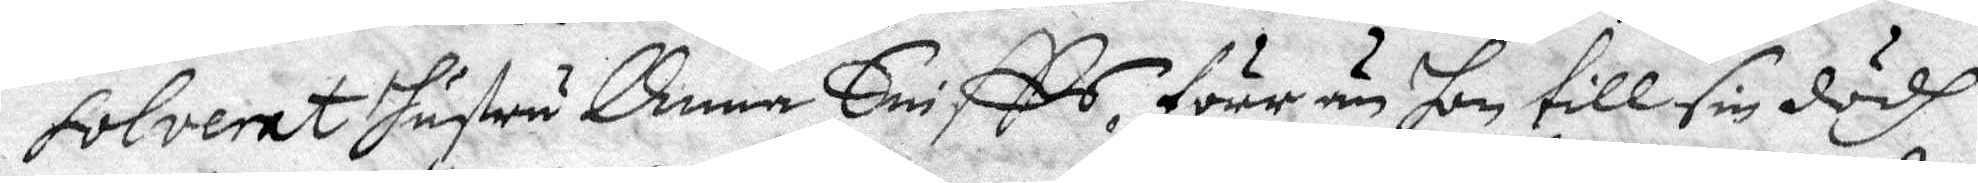solverat hustru Anna Sniffs, förr än hon till sin dödh
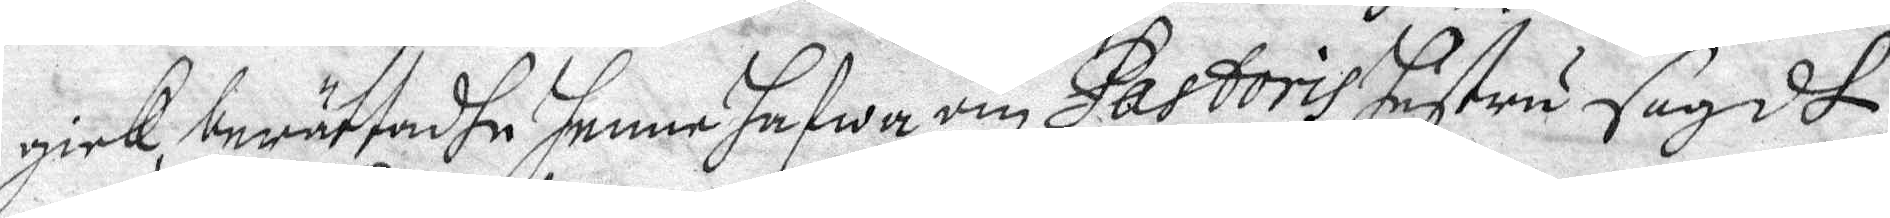gick, berättadhe henne jafwa om Pastoris hustru sagdt
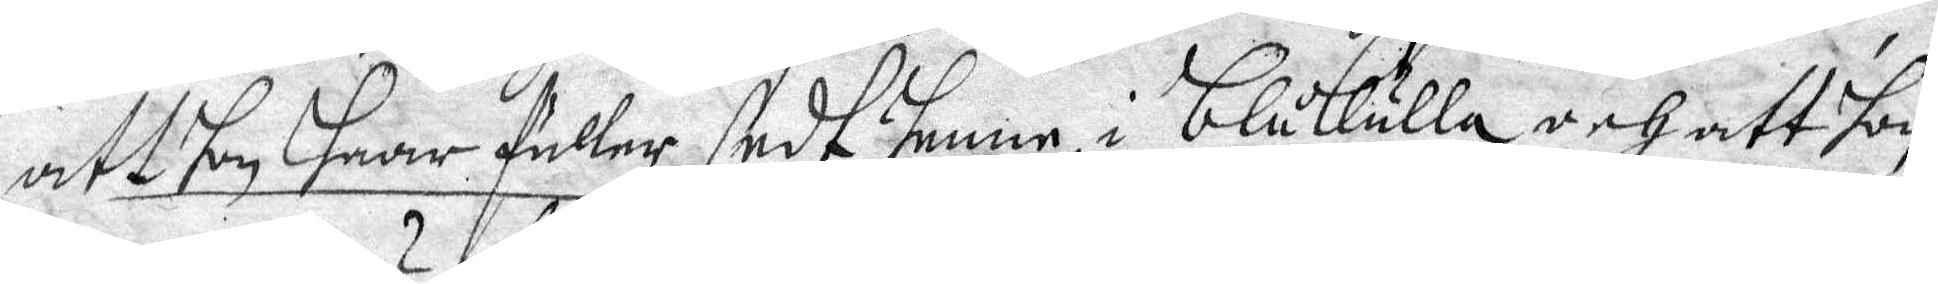att hon haar fuller sedt henne i blåkulla och att hon
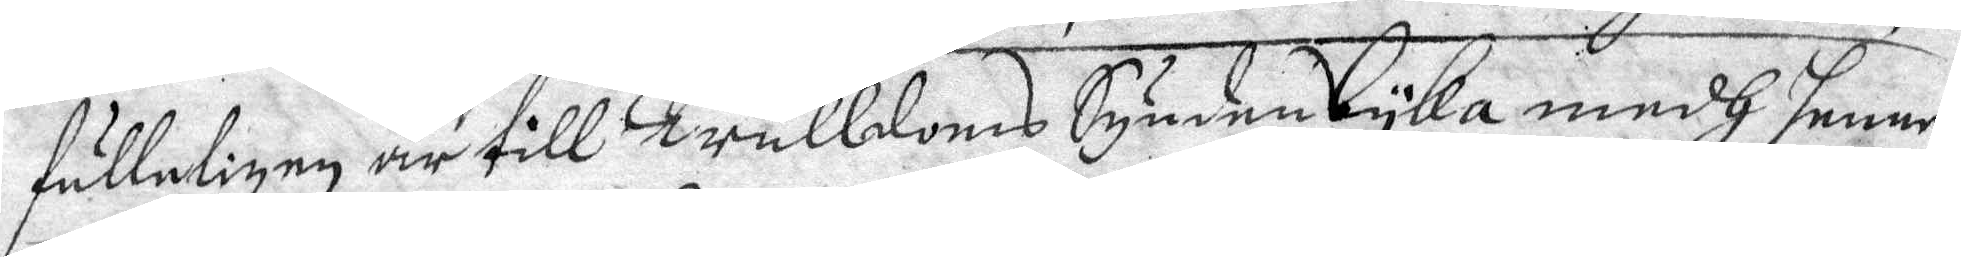fulleligen är till Trulldoms Synden Lyka medh henne
